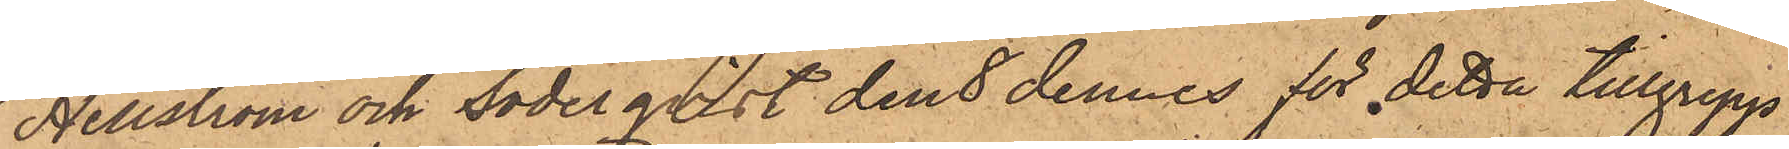Hellström och Söderqvist den 8 dennes för detta tillgrepp
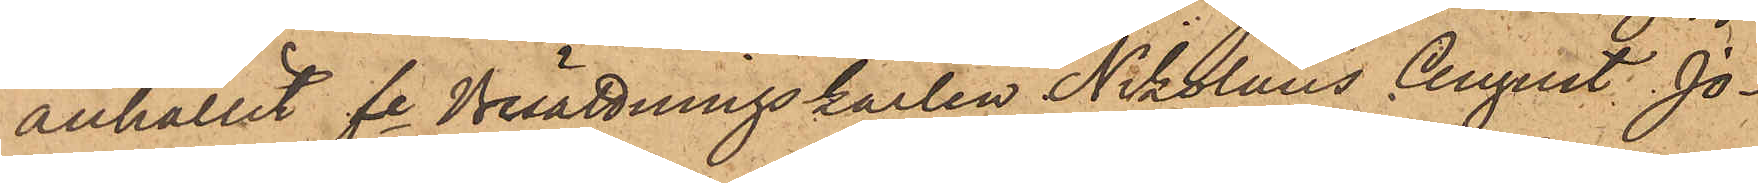anhållit fe Besättningskarlen Nikolaus August Jo¬
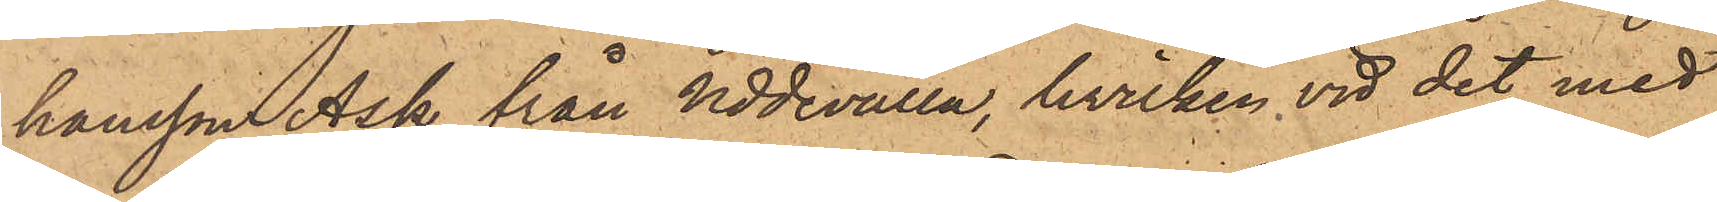hansson Ask från Uddevalla, hvilken vid det med
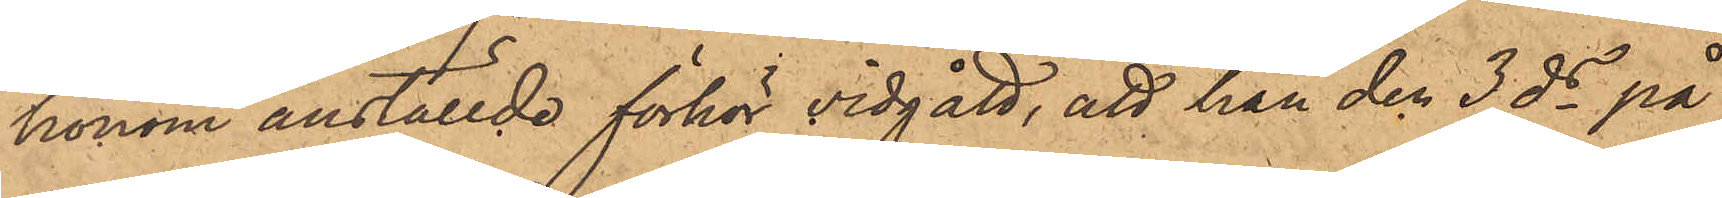honom anställde förhör vidgått, att han den 3 ds på
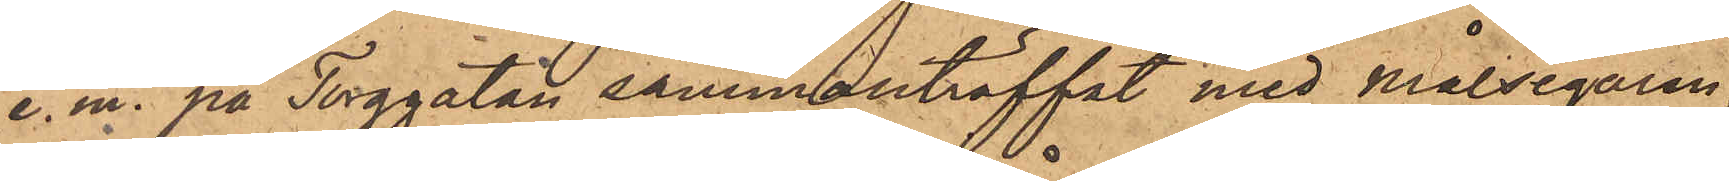e. m. på Torggatan sammanträffat med Målsegaren,
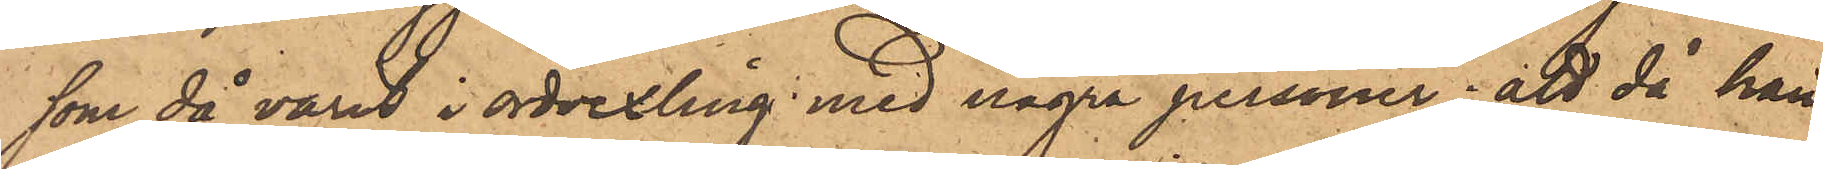som då varit i ordvexling med några personer; att då han
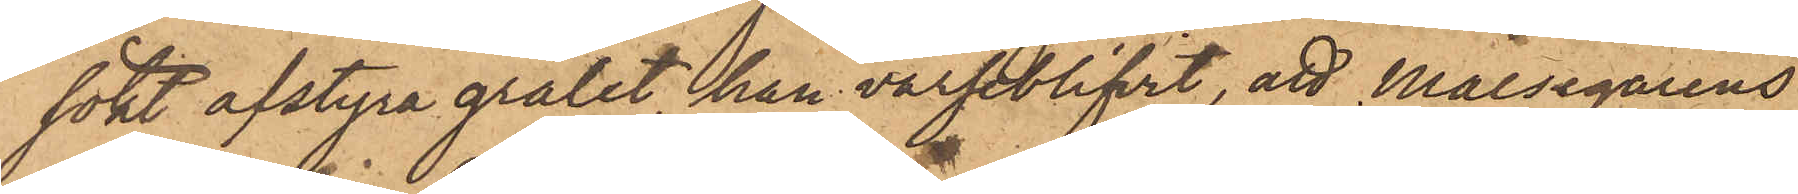sökt afstyra grälet, han varseblifvit, att Målsegarens
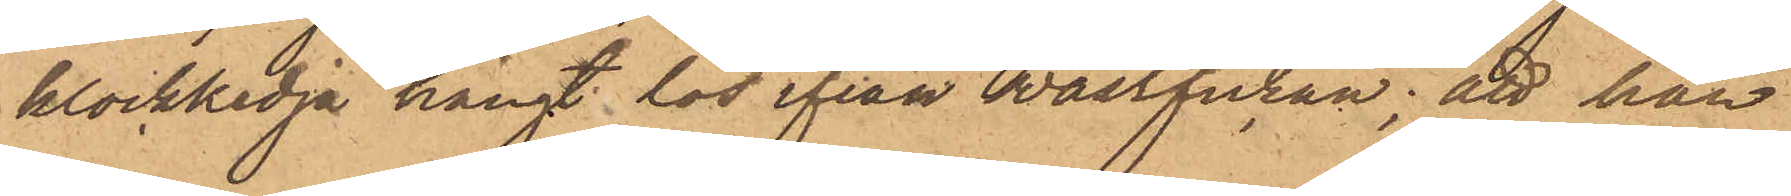klockkedja hängt lös ifrån wästfickan; att han
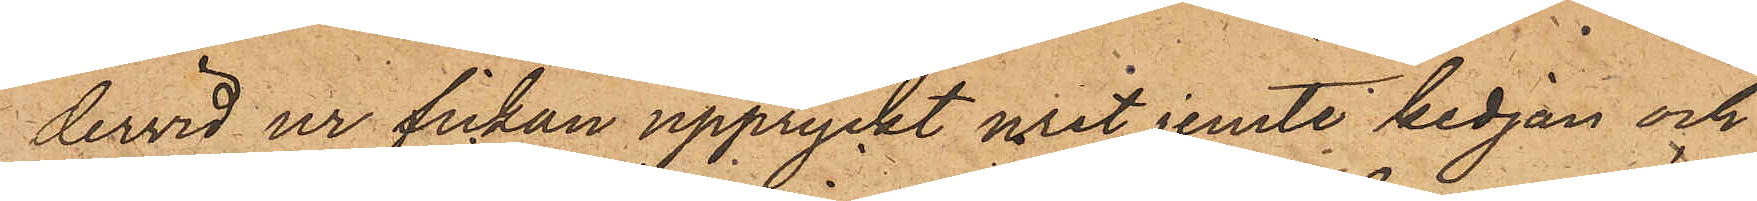dervid ur fickan uppryckt uret jemte kedjan och
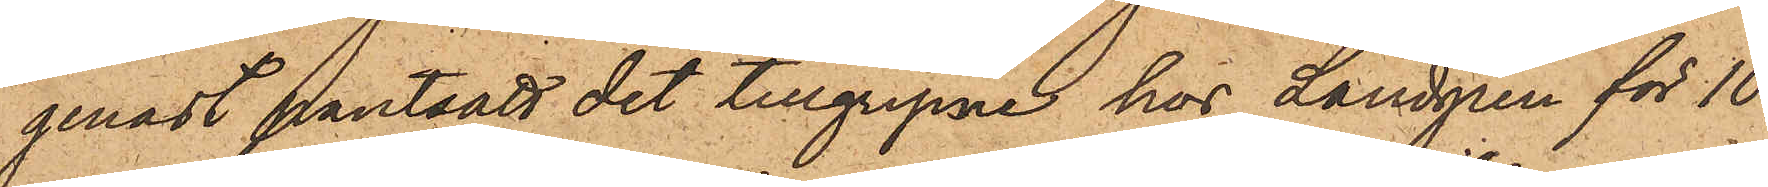genast pantsatt det tillgripne hos Landgren för 10
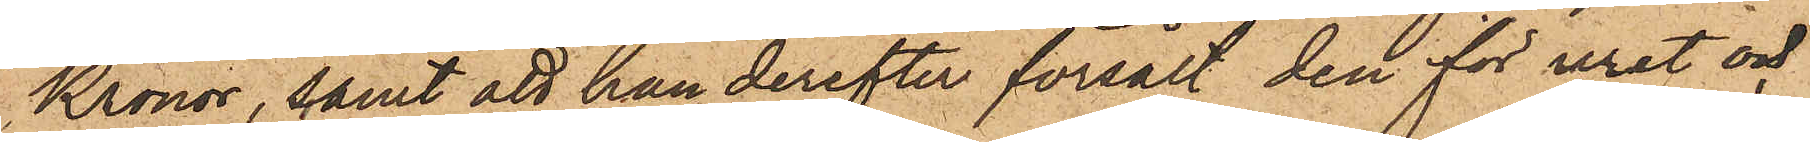Kronor, samt att han derefter försålt den för uret och
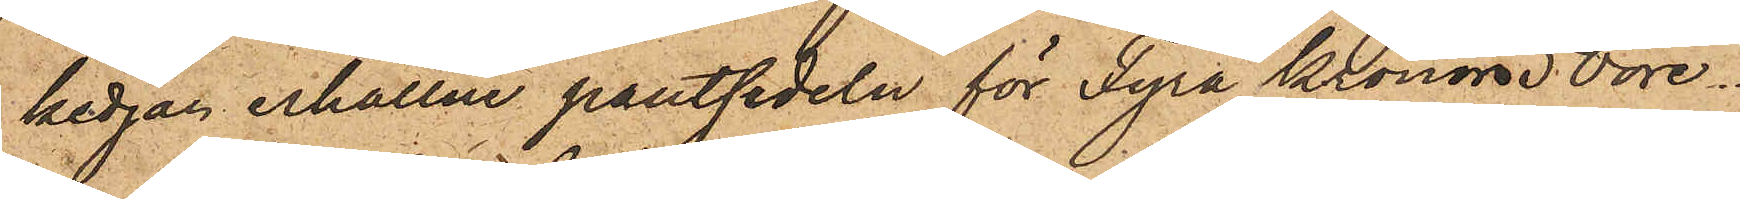kedjan erhållne pantsedeln för Fyra Kronor 50 öre.
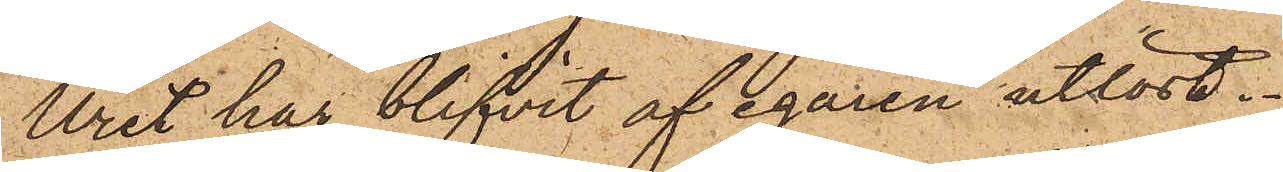Uret har blifvit af egaren utlöst.
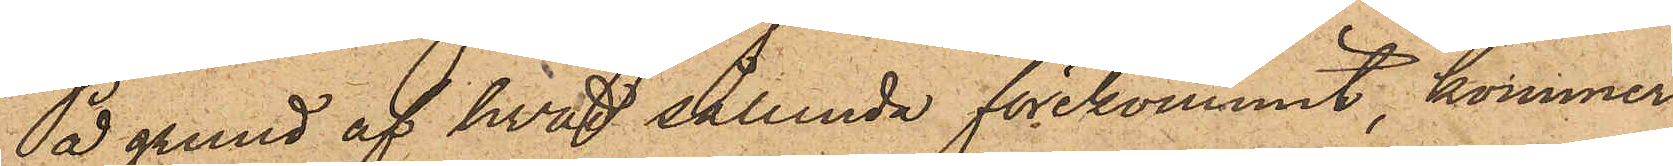På grund af hvad sålunda förekommit, kommer
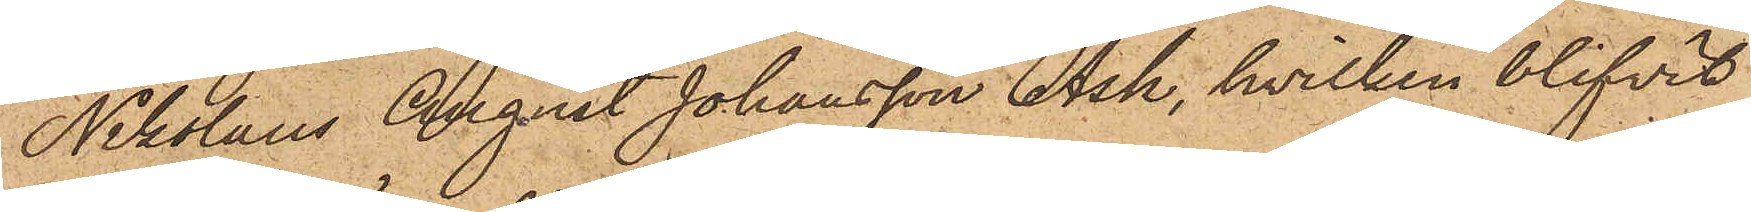Nikolaus August Johansson Ask, hvilken blifvit
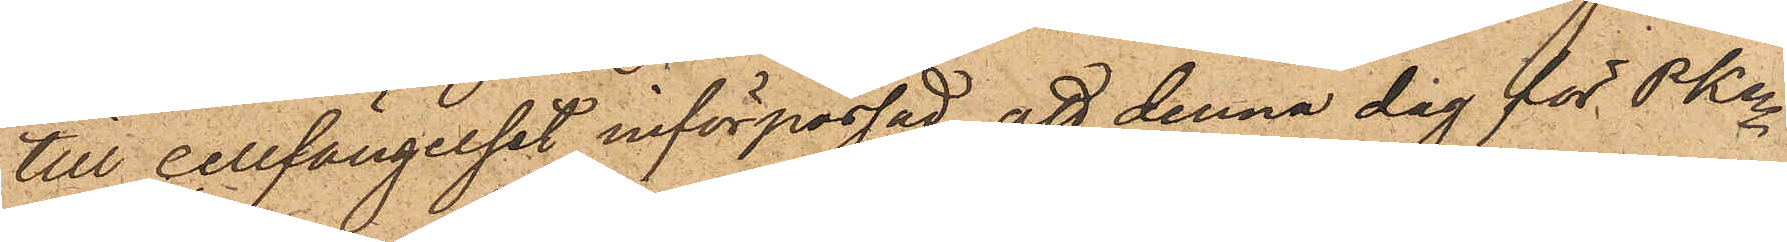till cellfängelset införpassad, att denna dag för PKn
